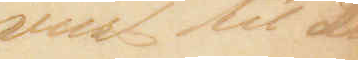viist til Lü¬
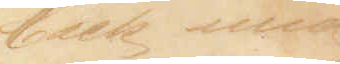beck med 
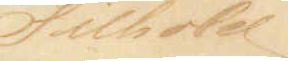Tilhold
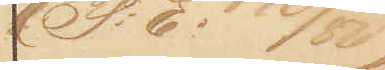(P.E: 140/80)
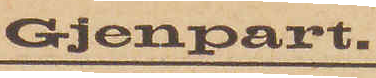Gjenpart
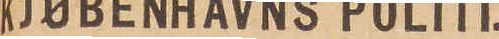KJØBENHAVNS POLITI.
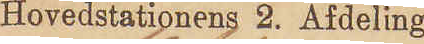Hovedstationens 2. Afdeling
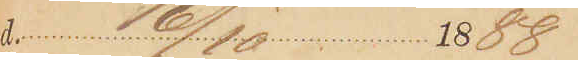d. 16/10 1888
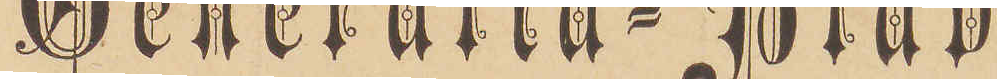Generalia-Blad
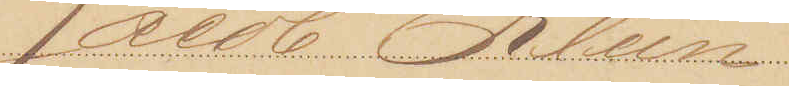Jacob Klein
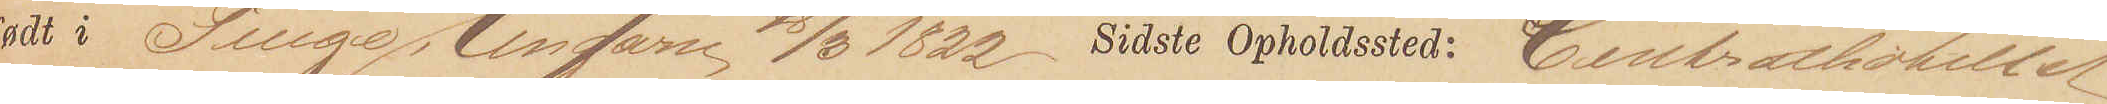født i Tuige, Ungarn 18/3 1822 Sidste Opholdsted: Centralhotellet
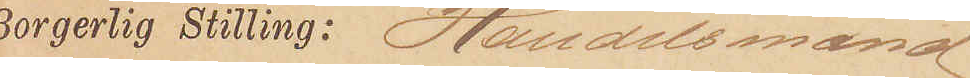Borgerlig Stilling: Handelsmand
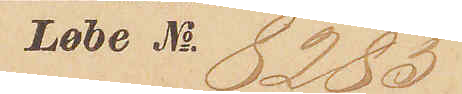Løbe No. 8285
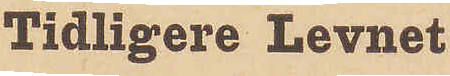Tidligere Levnet
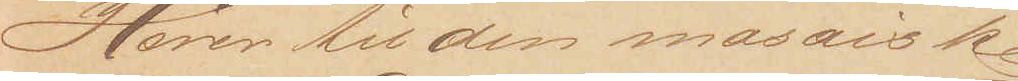Hører til den mosaiske
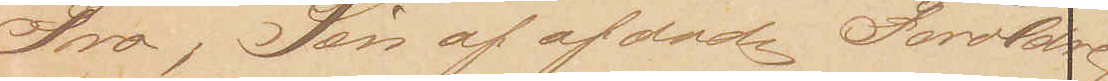Tro, Søn af afdøde Forældre
